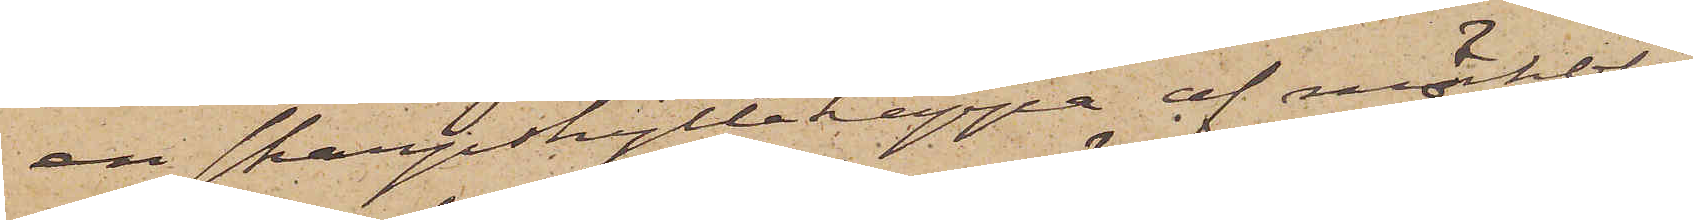en skarpskyttekappa af mörkblå
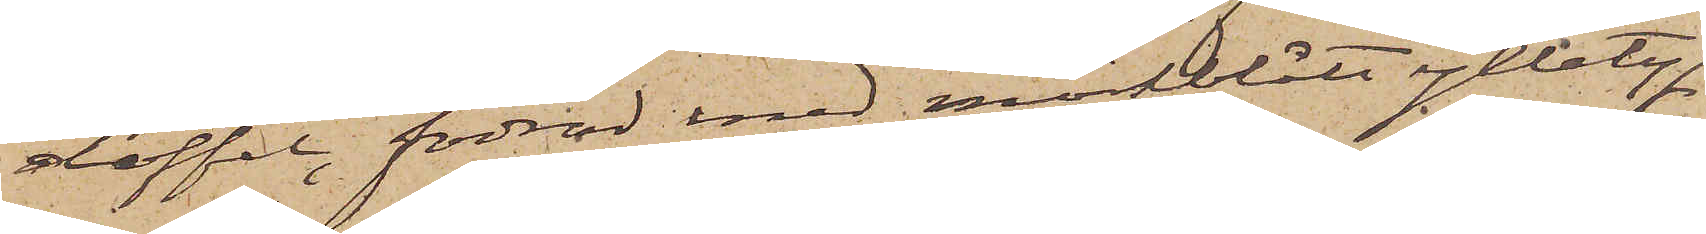doffel, fodrad med mörkblått ylletyg,
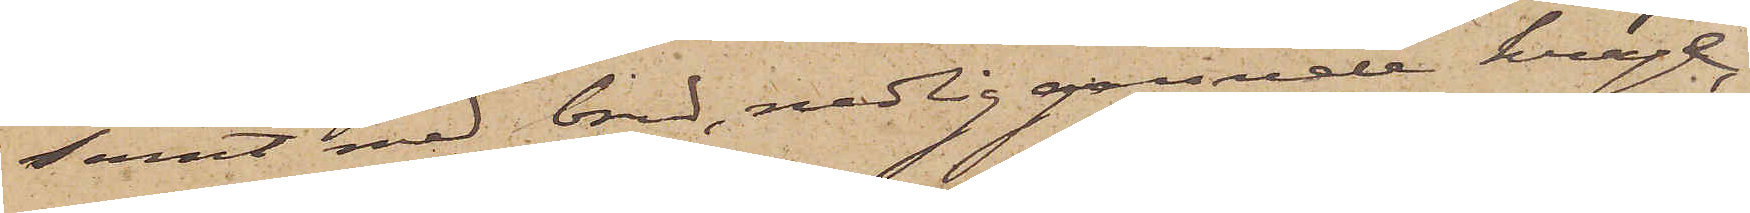samt med bred, nedliggande krage,
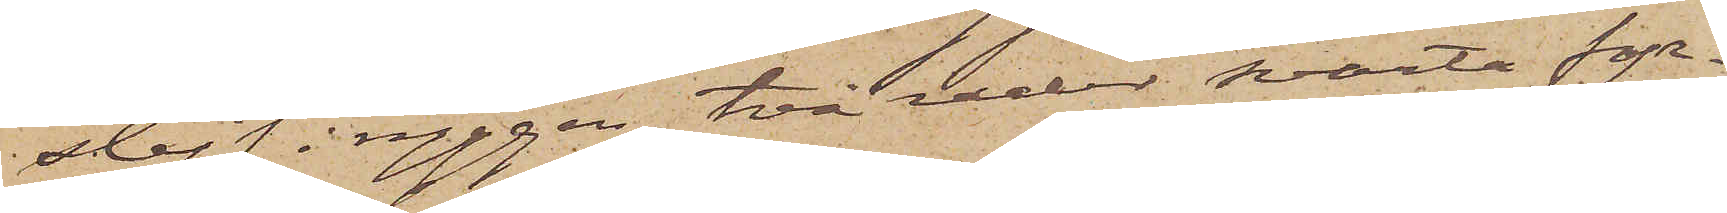slejf i ryggen, två rader svarta fyr¬
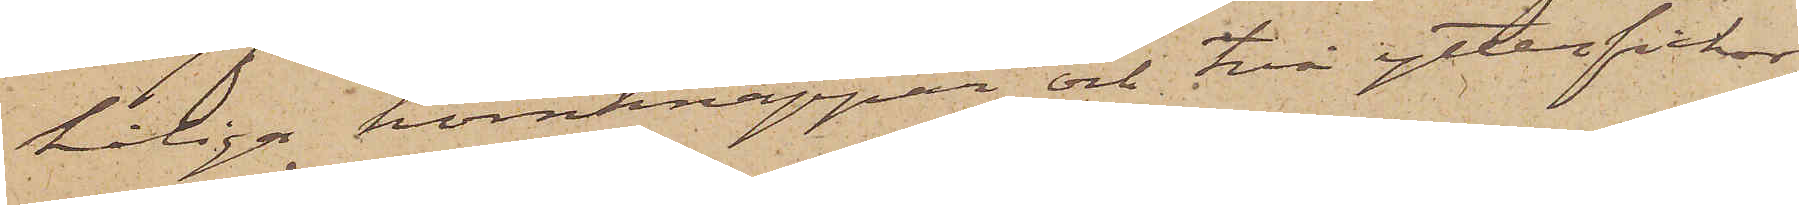håliga hornknappar och två ytterfickor,
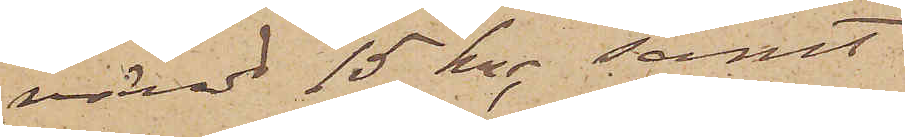värd 15 kr, samt
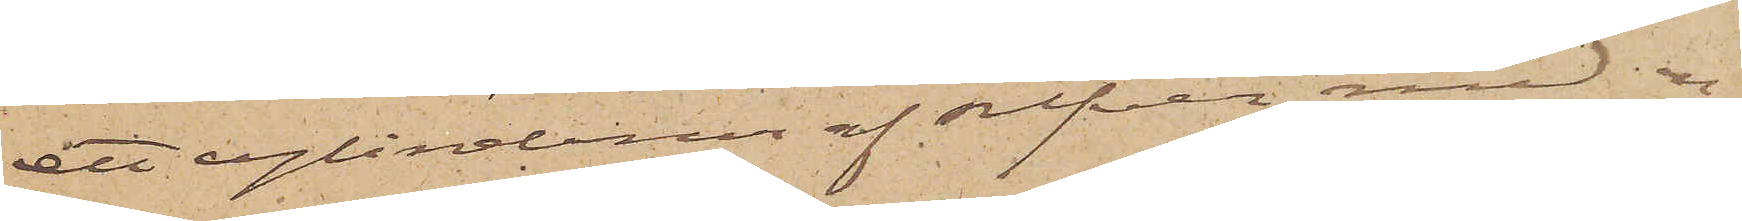ett cylinderur af silfver med en
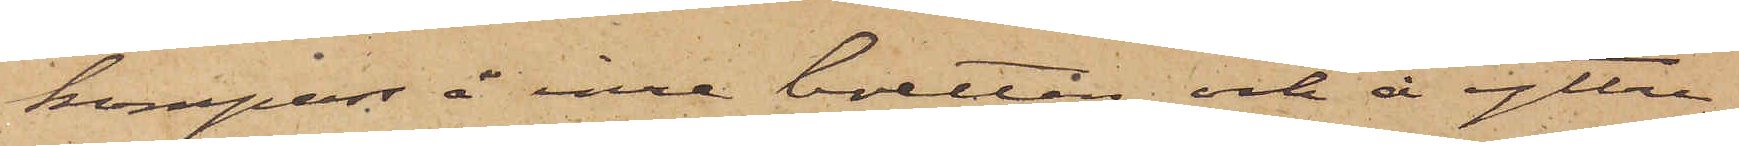kompass å inre boetten och å yttre
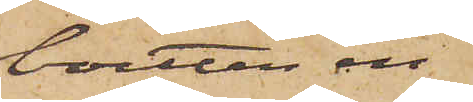boetten en
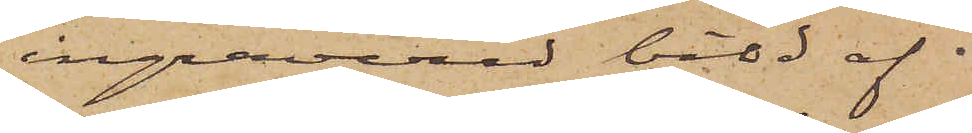ingraverad bild af 
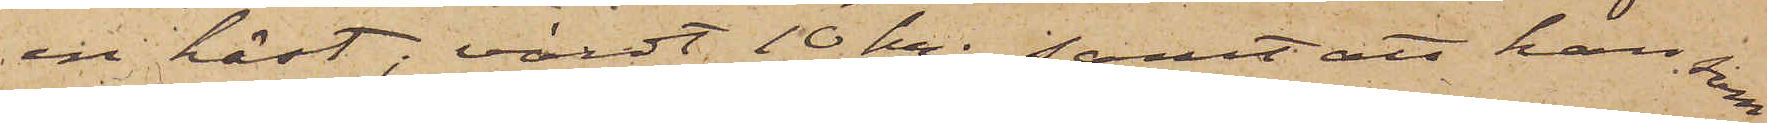en häst, värdt 10 kr; samt att han som
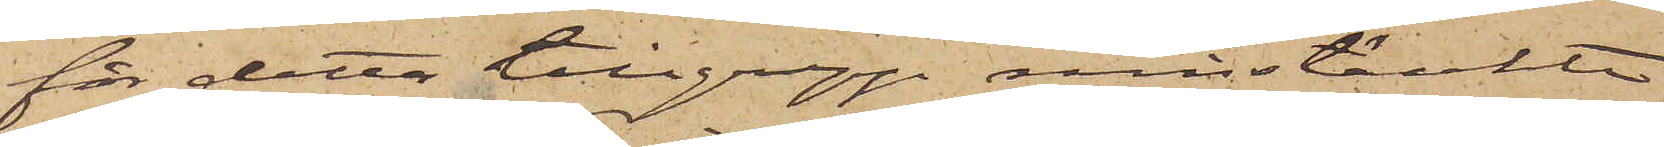för detta tillgrepp misstänkte
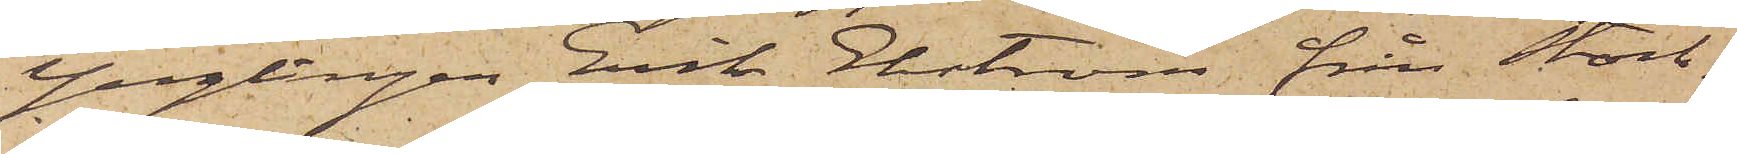Ynglingen Erik Ekström från Stock¬
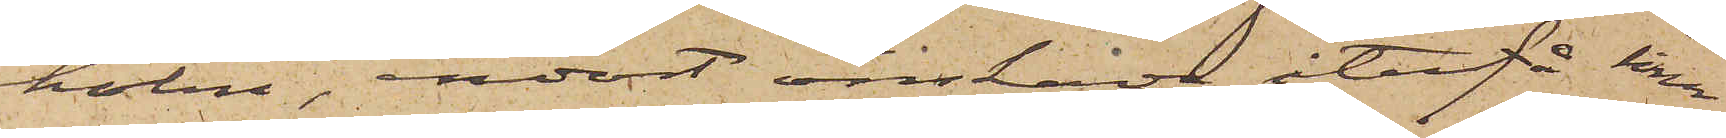holm, endast önskade återfå sina
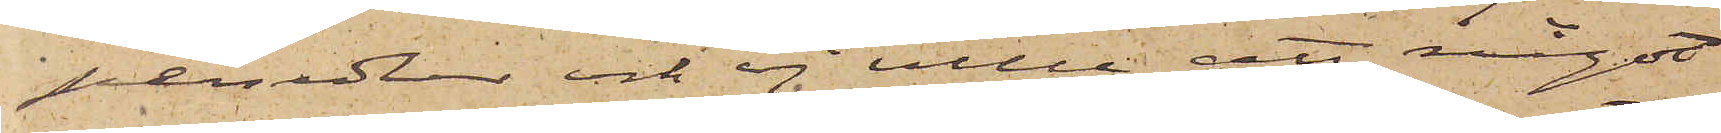persedlar och ej ville att något
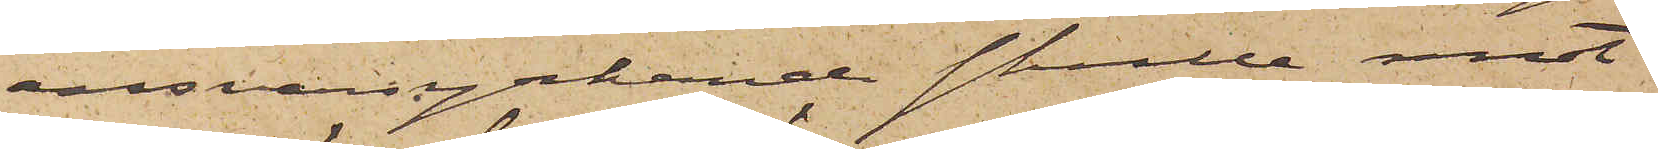ansvarsyrkande skulle emot
